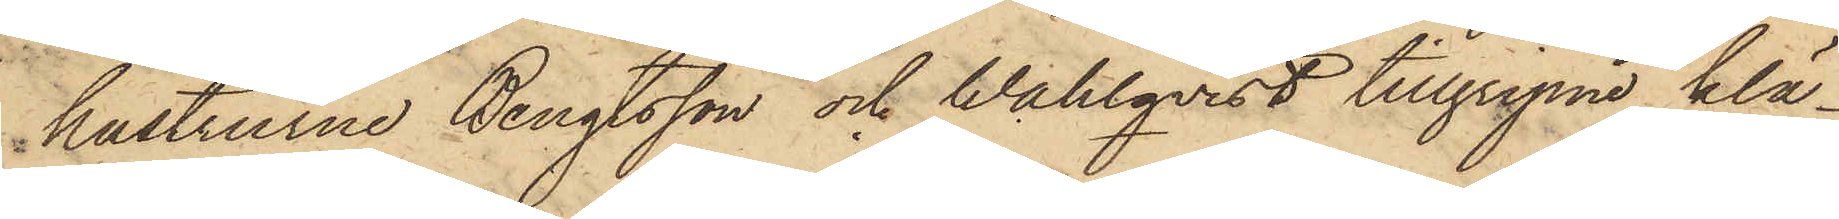hustrurne Bengtsson och Wahlqvist tillgripne klä¬
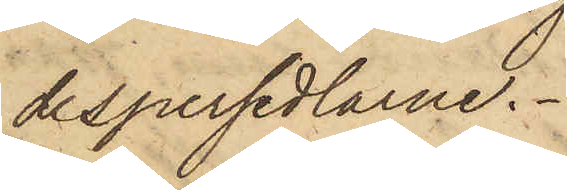despersedlarne.
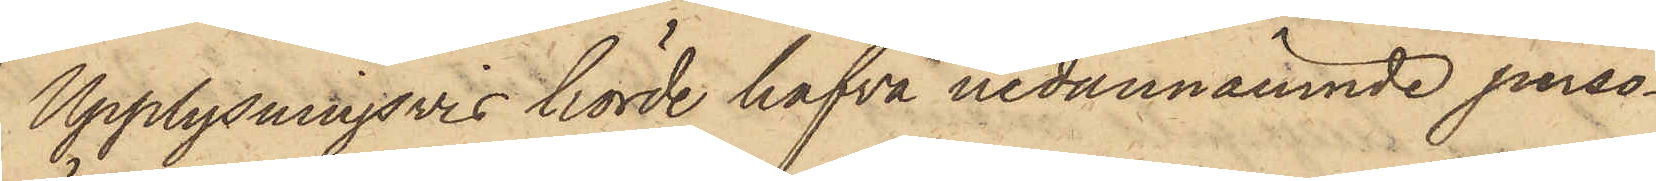Upplysningsvis hörde hafva nedannämnde perso¬
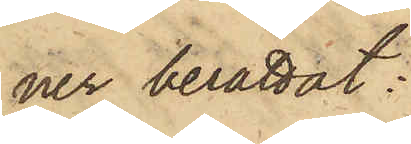ner berättat:
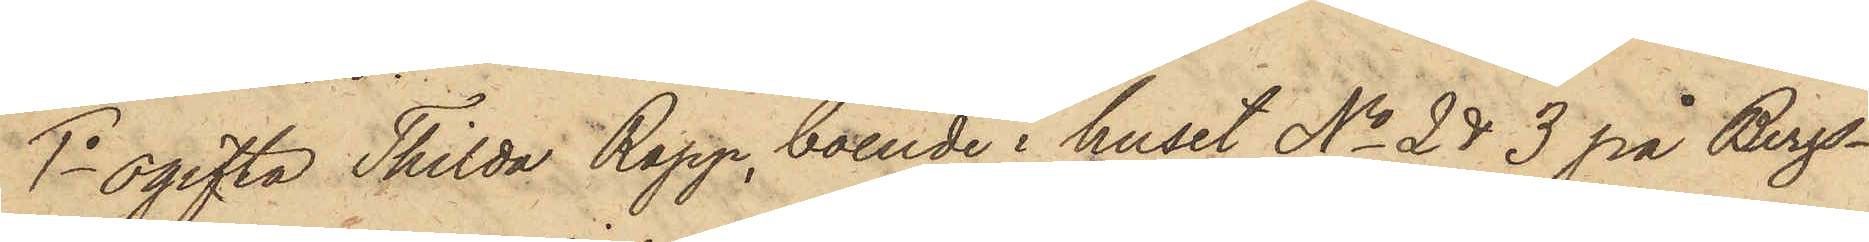1o ogifta Thilda Rapp, boende i huset No 2 & 3 på Bergs¬
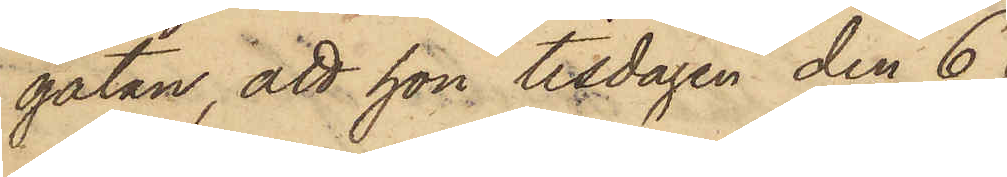gatan, att hon tisdagen den 6
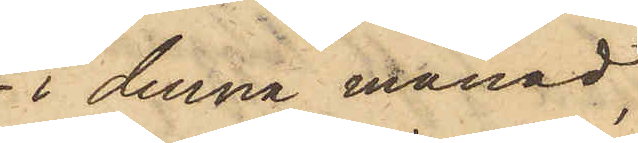i denna månad,
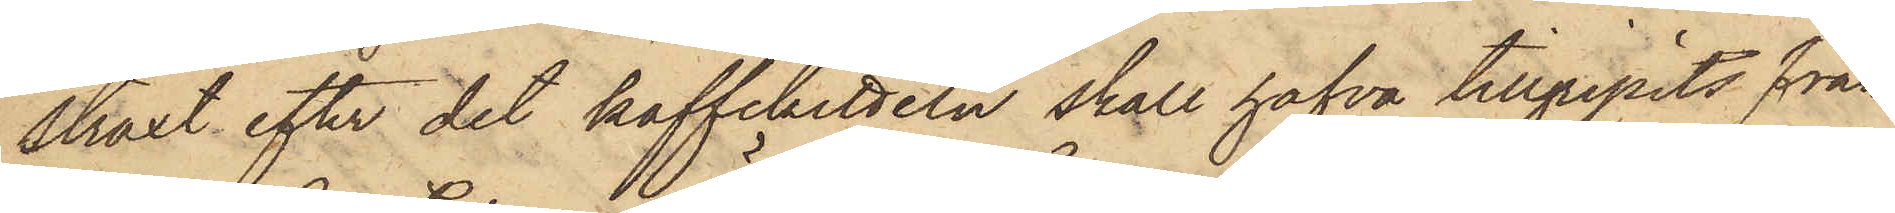straxt efter det kaffekitteln skall hafva tillgripits från
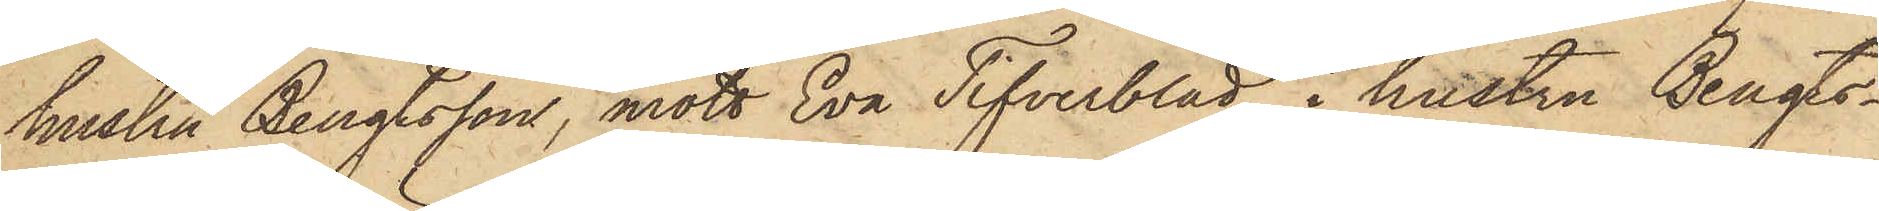hustru Bengtsson, mött Eva Tifverblad i hustru Bengts¬
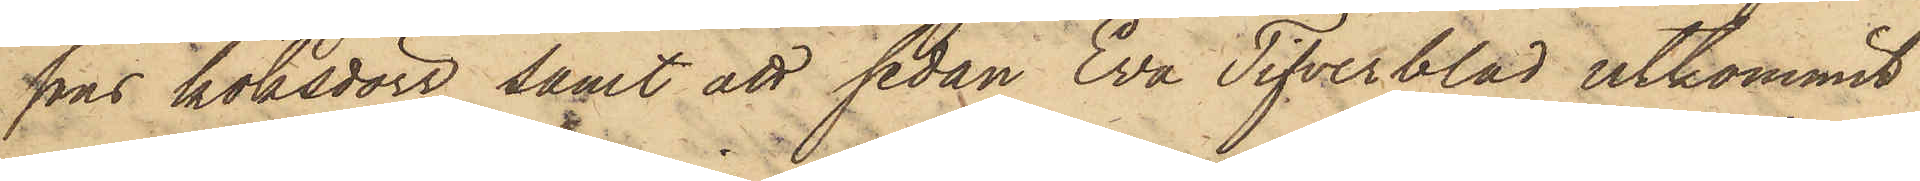sons köksdörr samt att sedan Eva Tifverblad utkommit
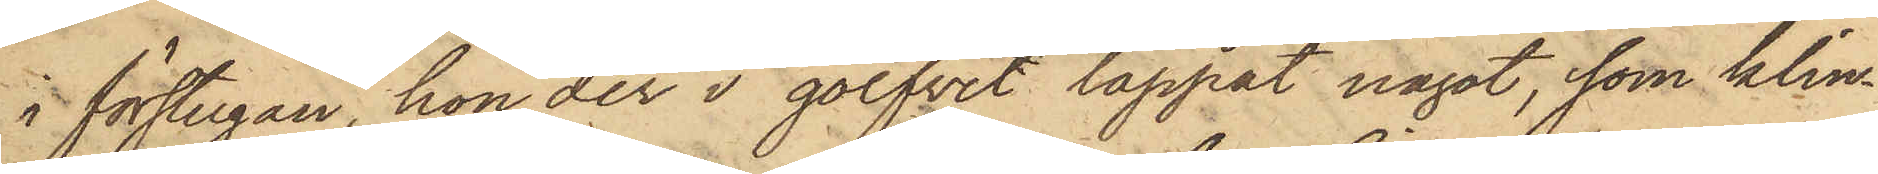i förstugan, hon der i golfvet tappat något, som klin¬
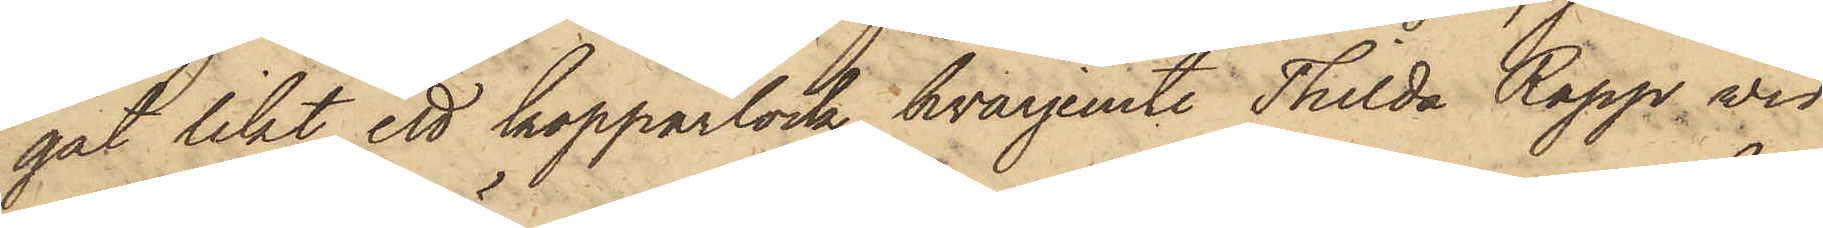gat likt ett kopparlock, hvarjemte Thilda Rapp vid
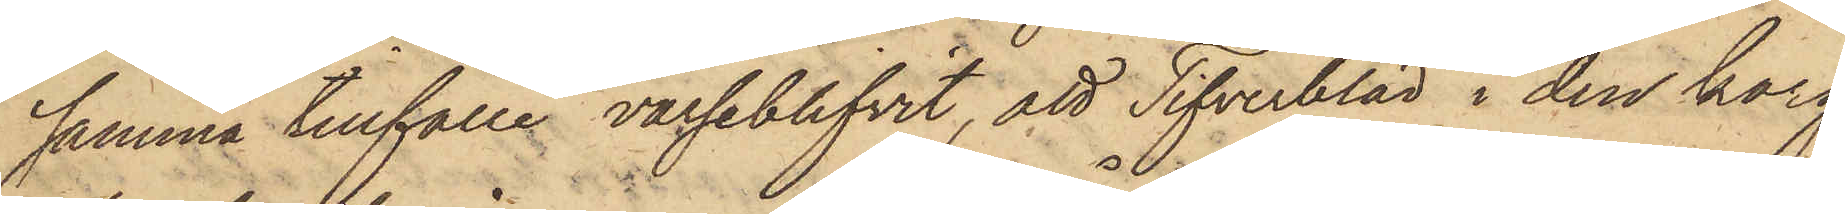samma tillfälle varseblifvit, att Tifverblad i den korg
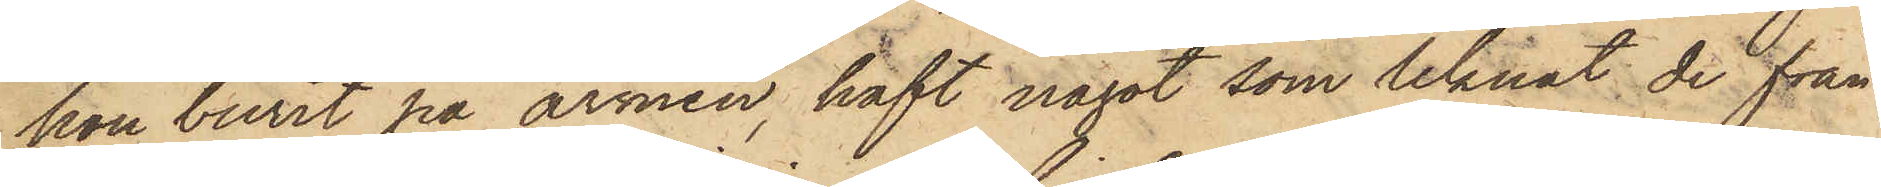hon burit på armen, haft något som liknat de från
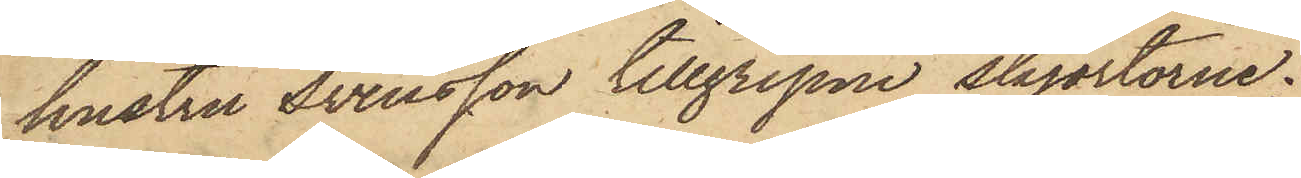hustru Svensson tillgripne skjortorne;
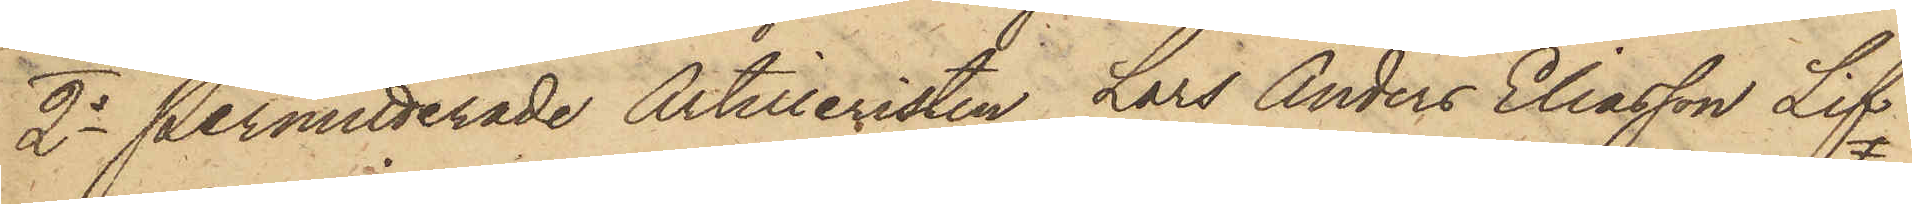2o Permitterade Artilleristen Lars Anders Eliasson Lif
